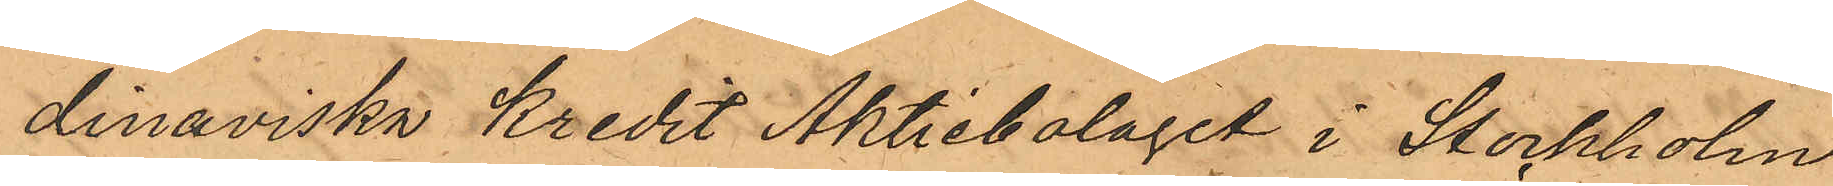dinaviska Kredit Aktiebolaget i Stockholm
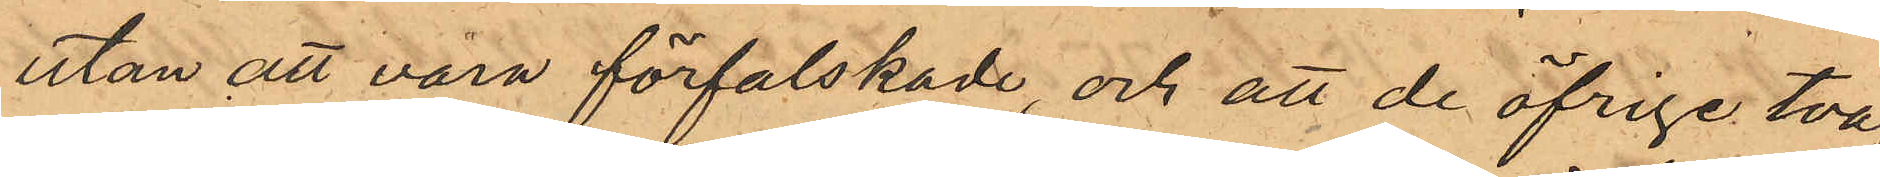utan att vara förfalskade, och att de öfrige två,
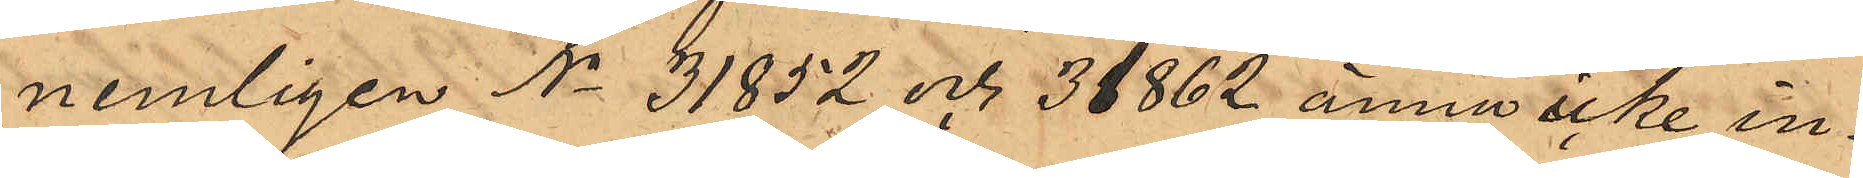nemligen No 31852 och 31862 ännu icke in¬
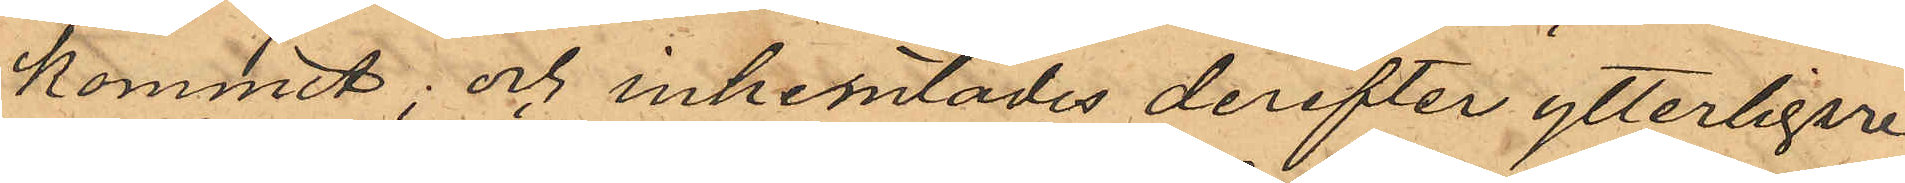kommit; och inhemtades derefter ytterligare
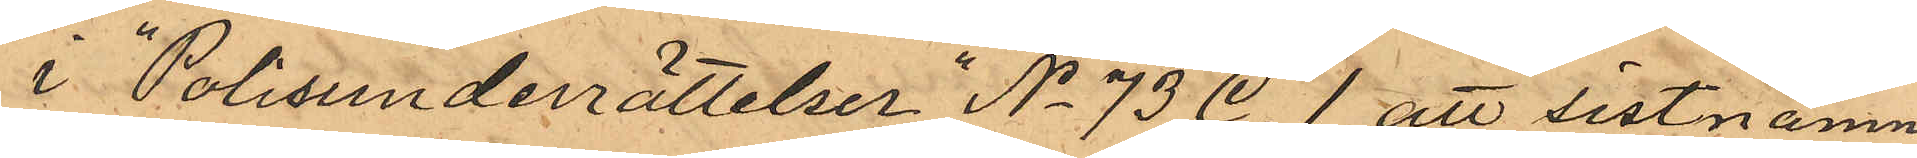i Polisunderrättelser "No 73 C.1 att sistnämn¬
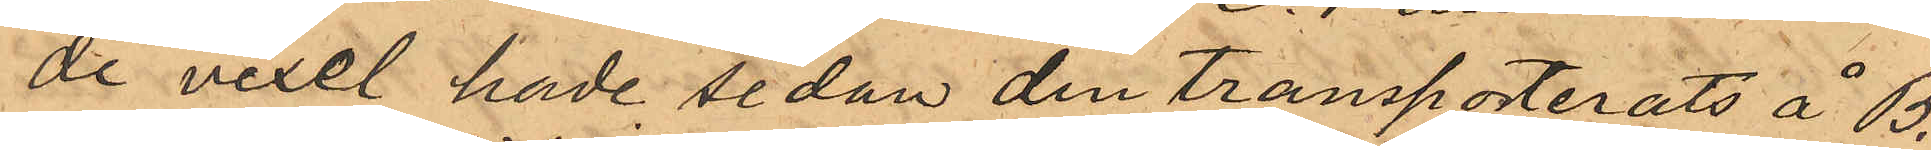de vexel hade sedan den transporterats å B.
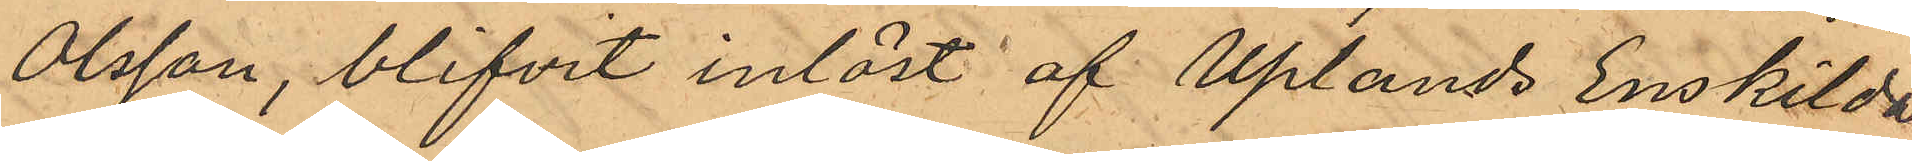Olsson, blifvit inlöst af Uplands Enskilda
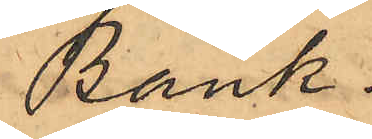Bank.
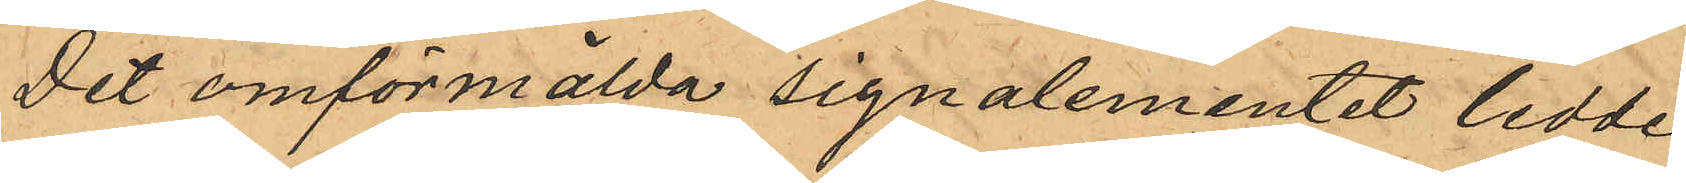Det omförmälda signalementet ledde
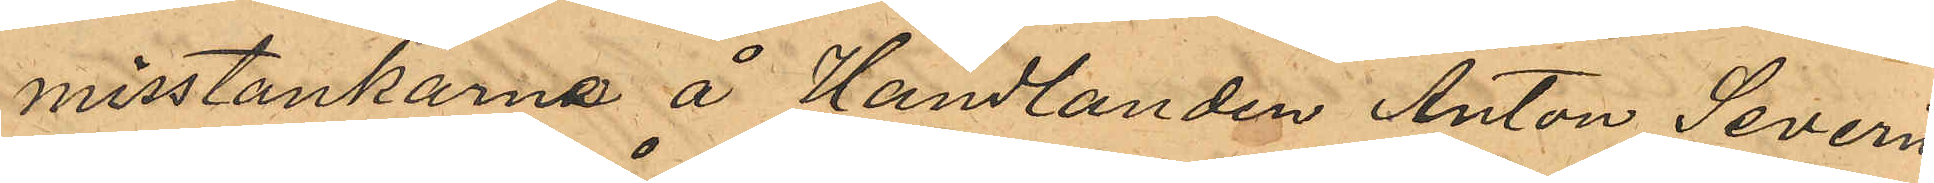misstankarna å Handlanden Anton Severin
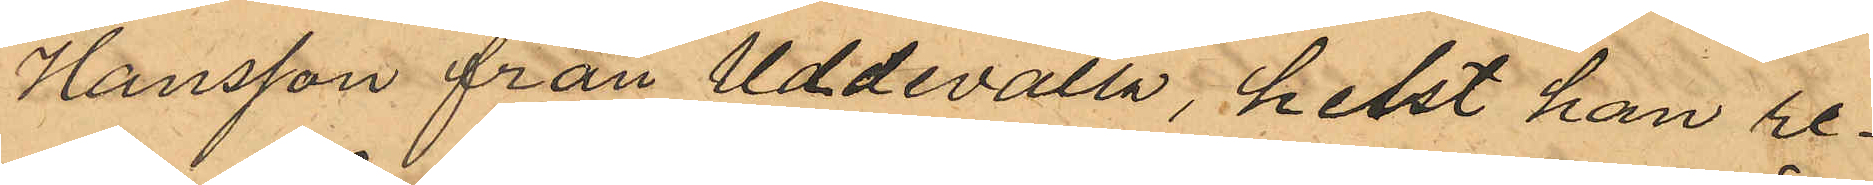Hansson från Uddevalla, helst han re¬
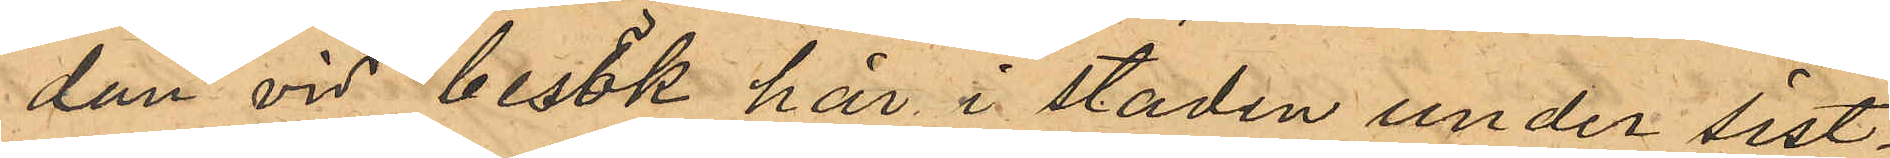dan vid besök här i staden under sist¬
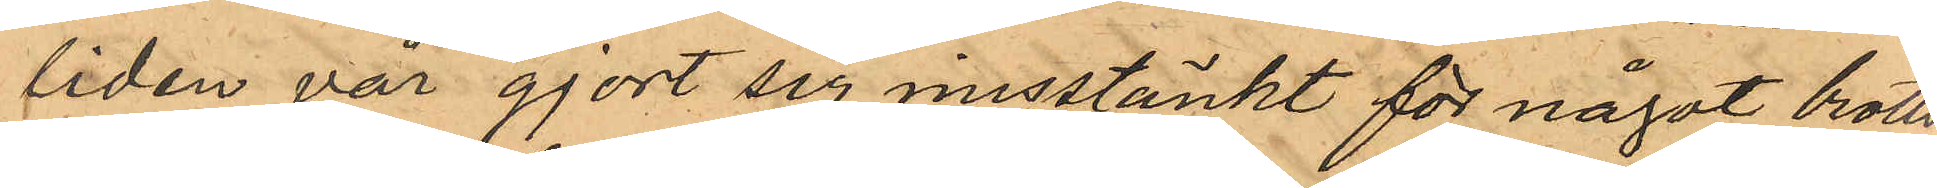liden vår gjort sig misstänkt för något brotts¬
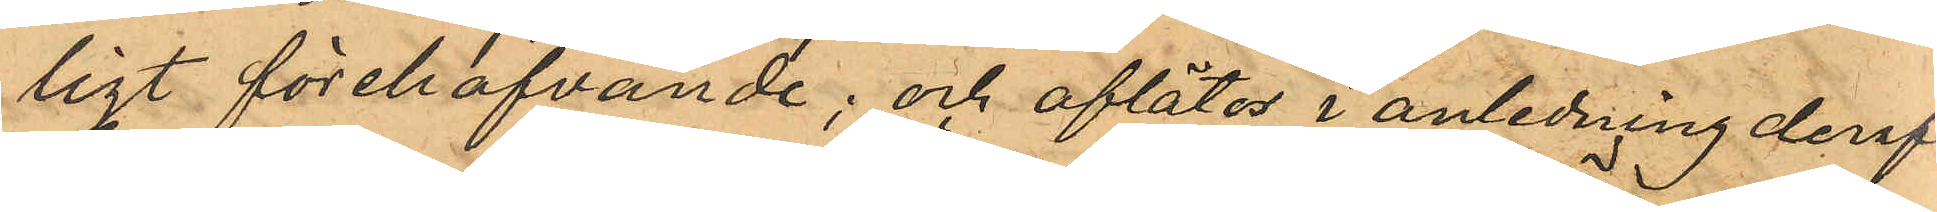ligt förehafvande; och aflätos i anledning deraf
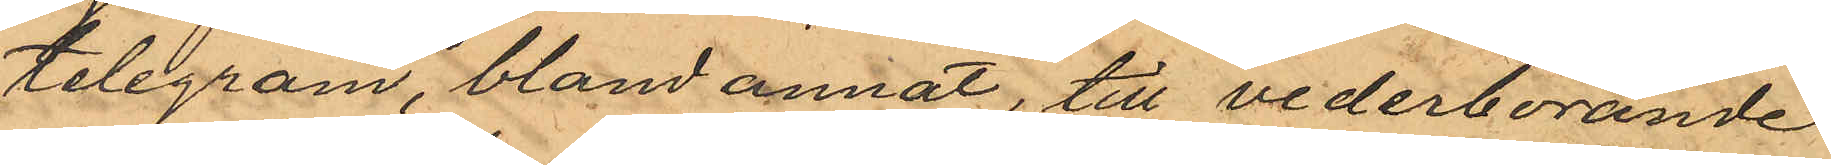telegram, bland annat, till vederbörande
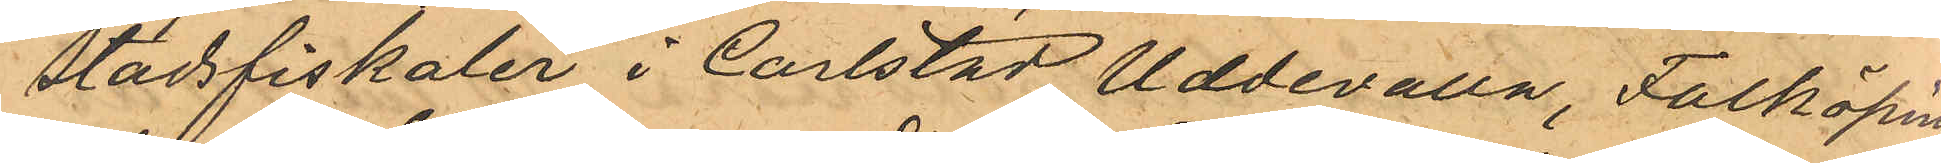Stadsfiskaler i Carlstad, Uddevalla, Falköping
